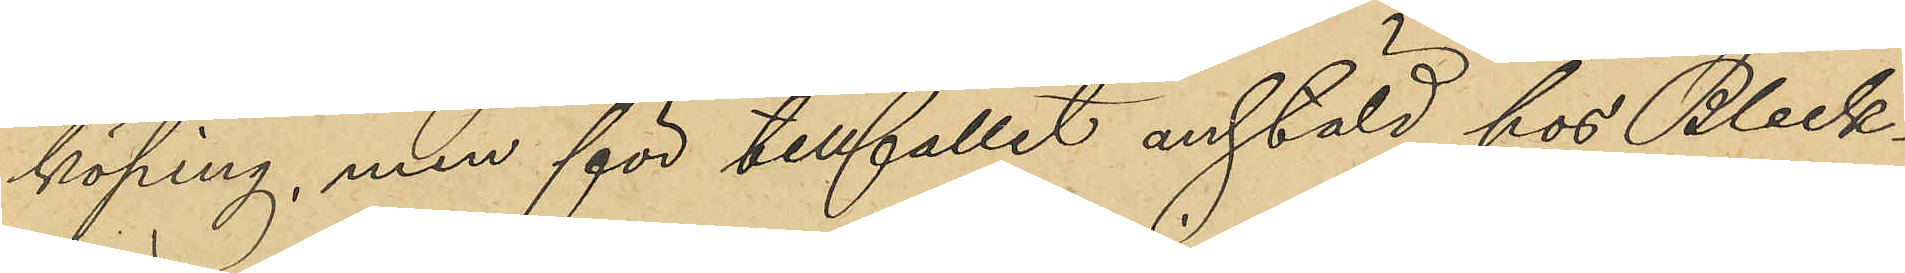köping, men för tillfället anstäld hos Bleck¬
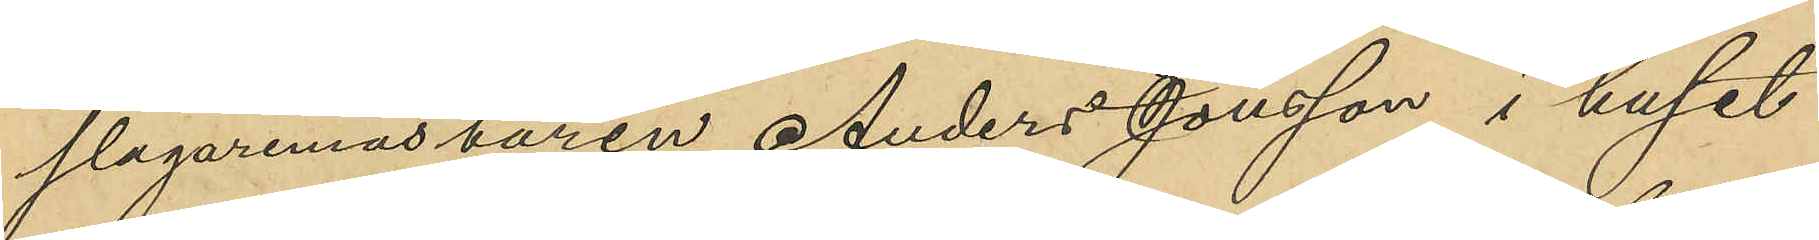slagaremästaren Anders Jonsson i huset
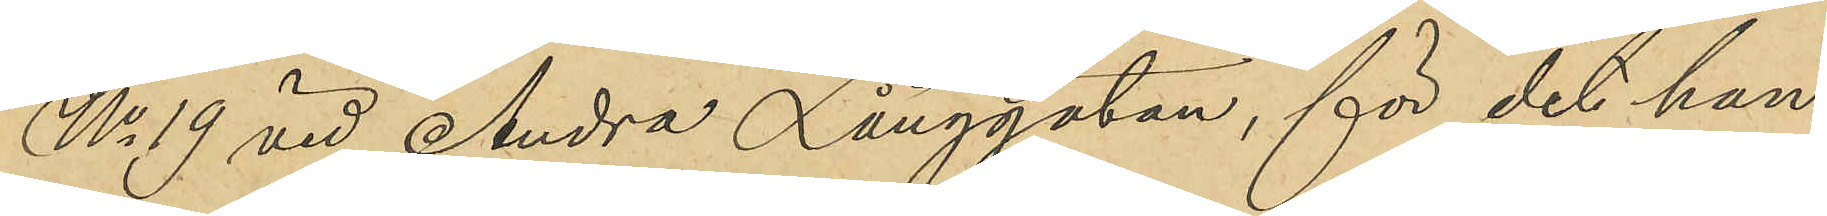No 19 vid Andra Långgatan, för det han
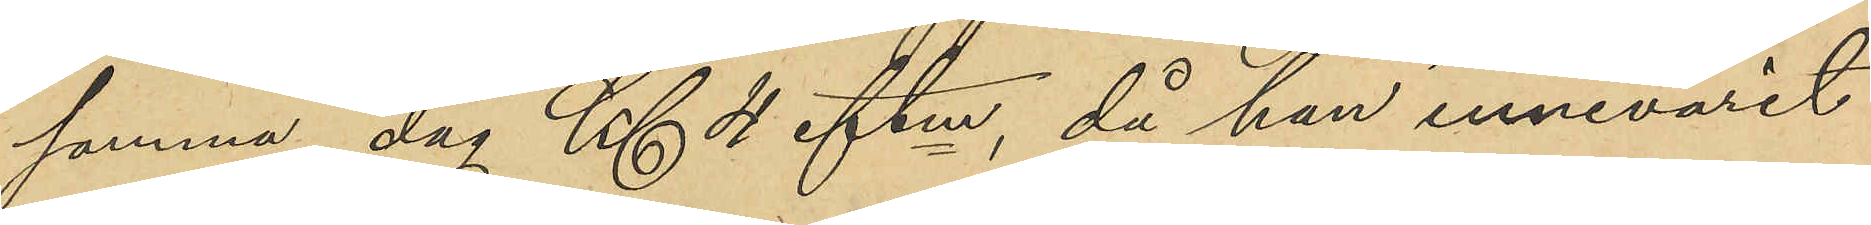samma dag Kl 4 eftm, då han innevarit
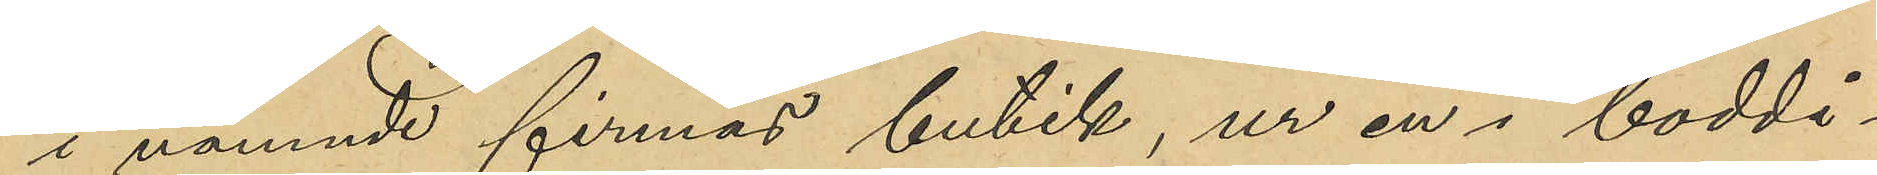i nämnde firmas butik, ur en i boddi¬
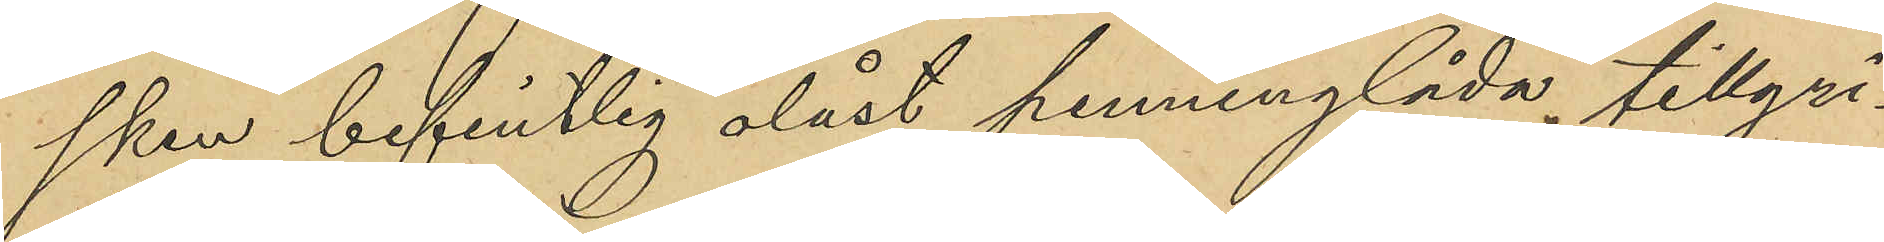sken befintlig olåst penninglåda, tillgri¬
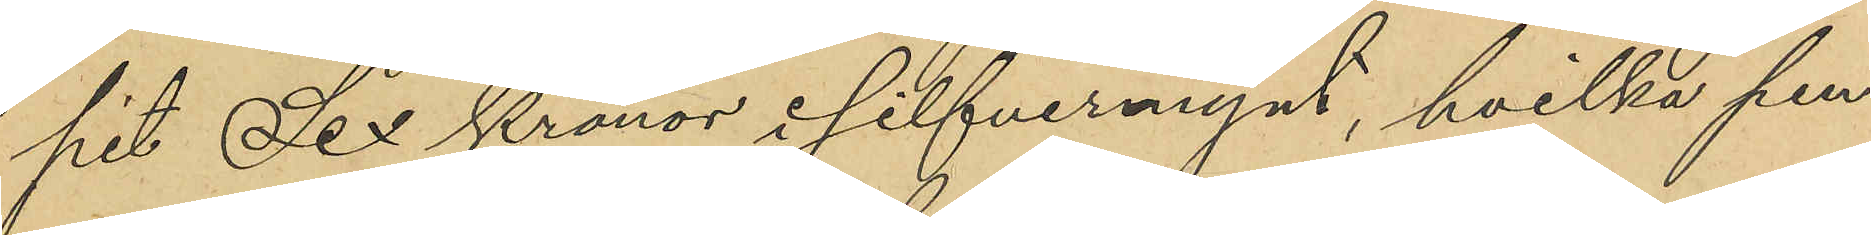pit Sex Kronor i silfvermynt, hvilka pen¬
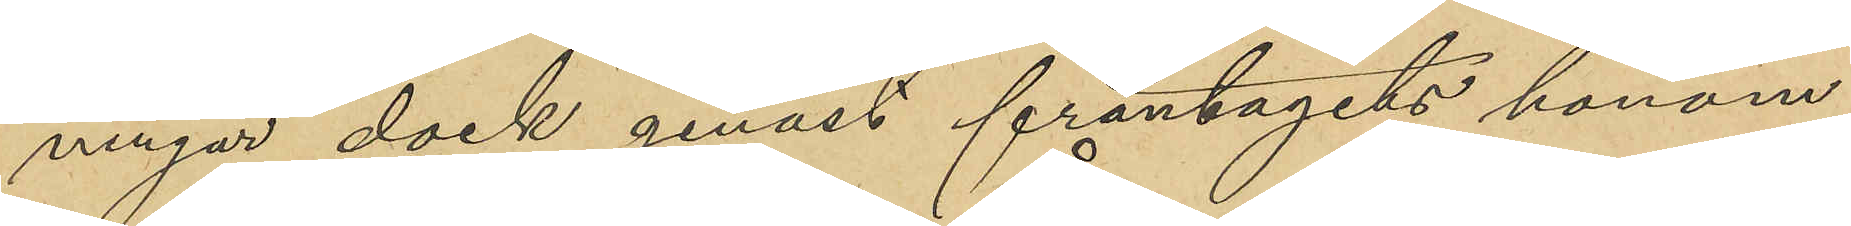ningar dock genast fråntagits honom
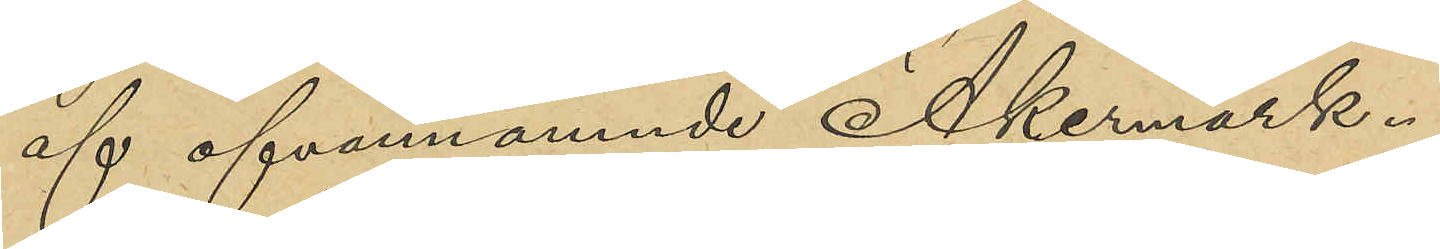af ofvannämnde Åkermark.
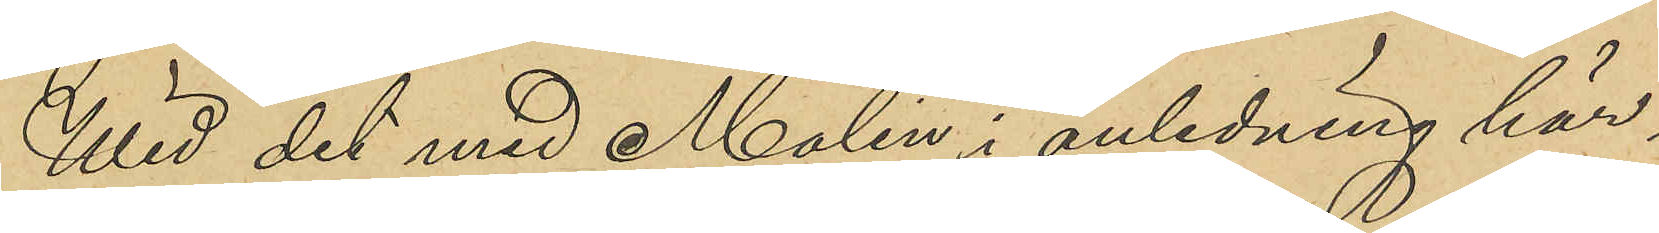Wid det med Molin i anledning här¬
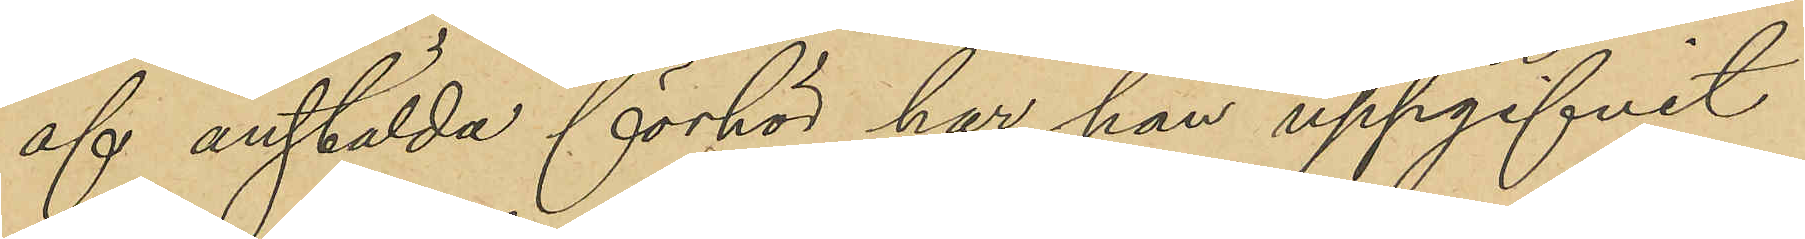af anstälda förhör har han uppgifvit
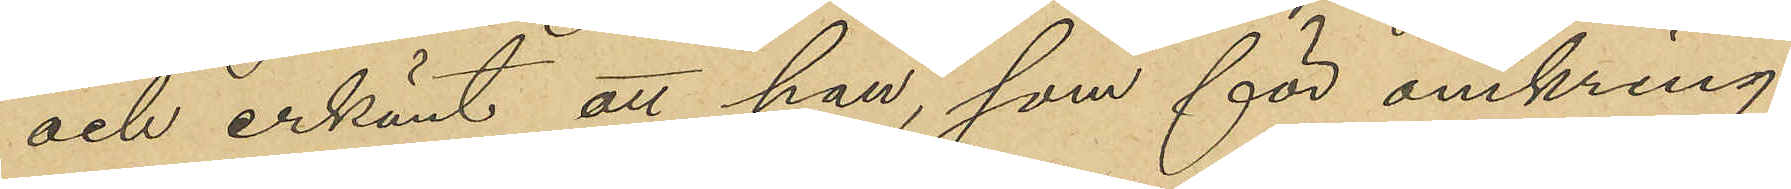och erkänt att han, som för omkring
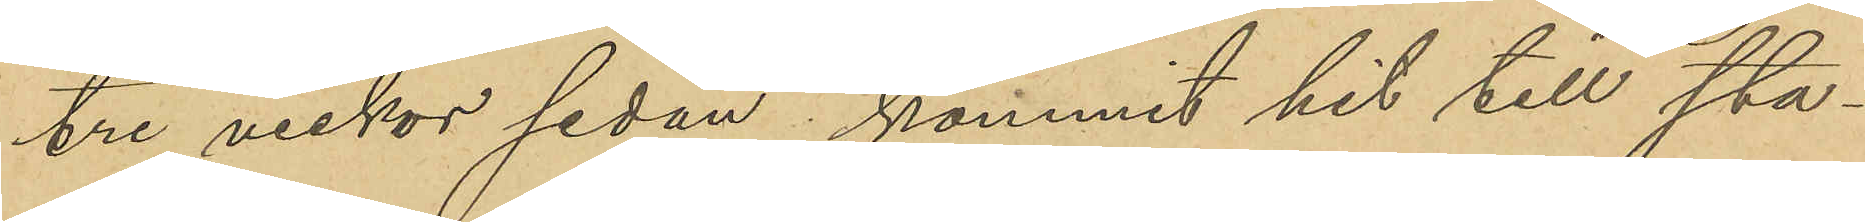tre veckor sedan kommit hit till sta¬
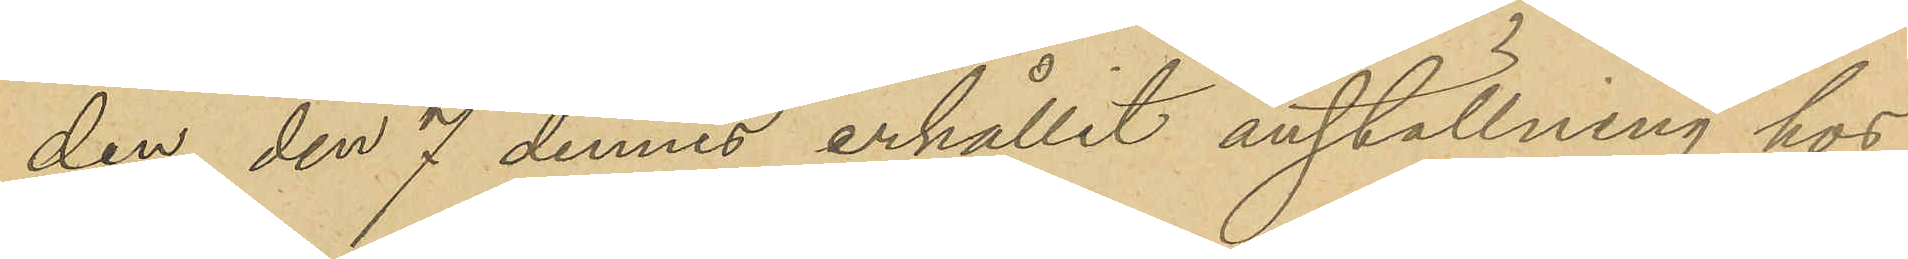den, den 7 dennes erhållit anställning hos
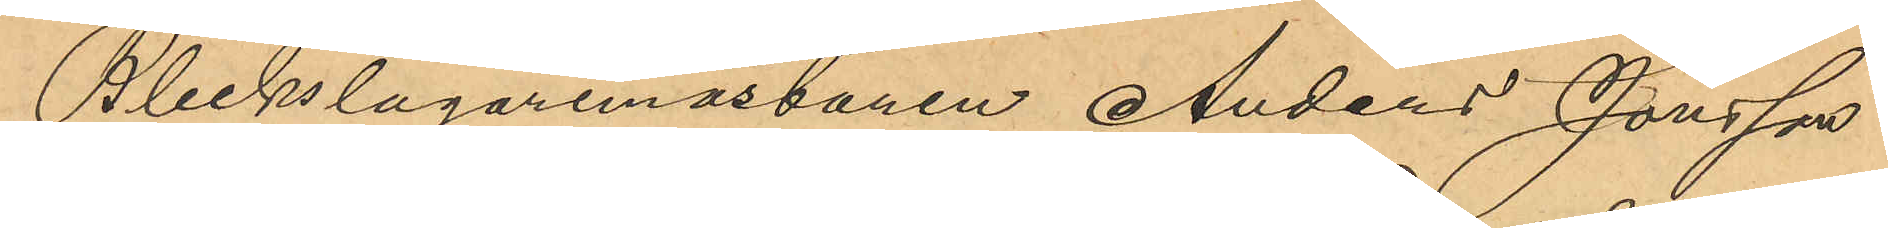Bleckslagaremästaren Anders Jonsson
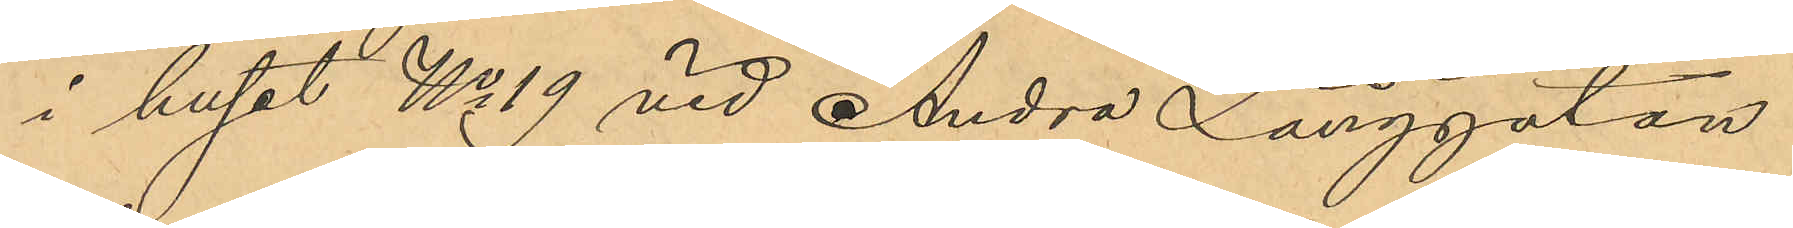i huset No 19 vid Andra Långgatan
